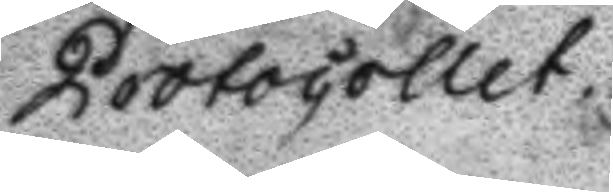Protocollet.
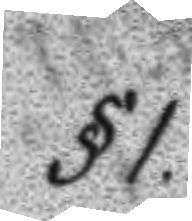§1.
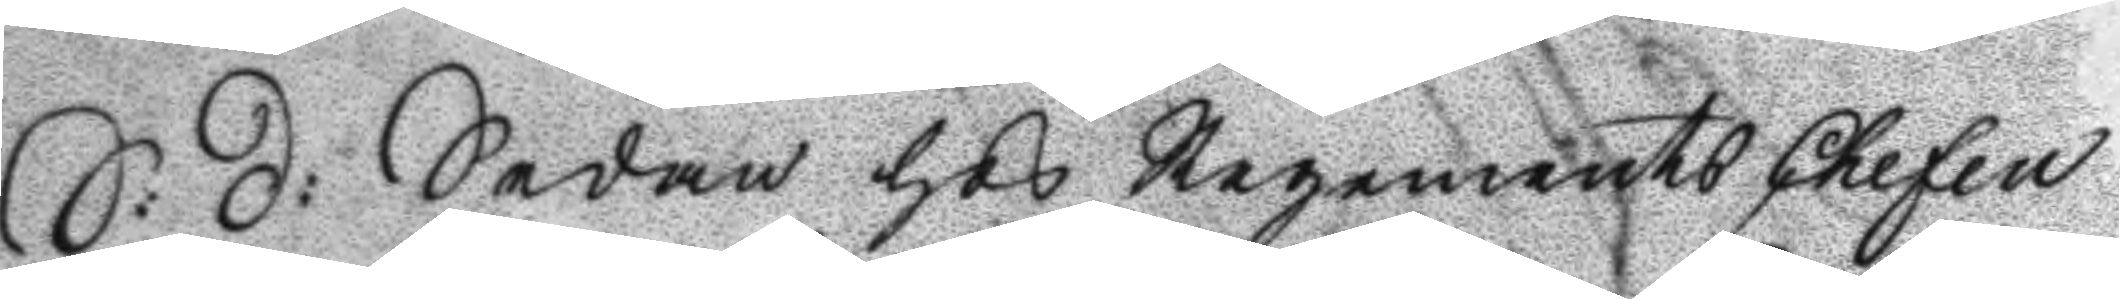S: D: Sedan hos Regements Chefen
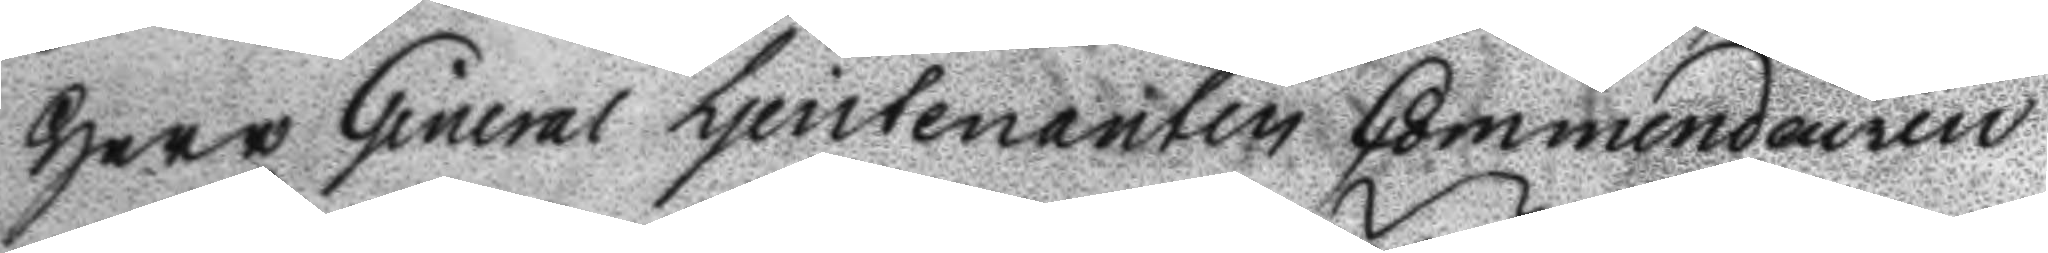Herr General Ljeutenanten Commendeuren
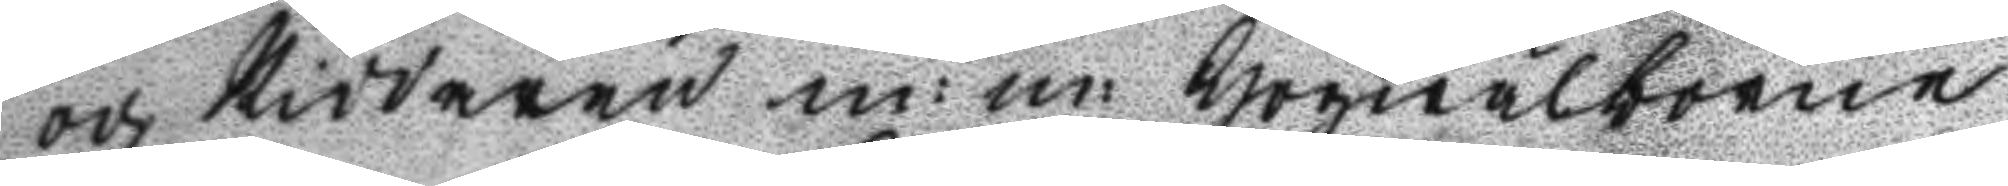och Riddaren m:m: Högwälborne
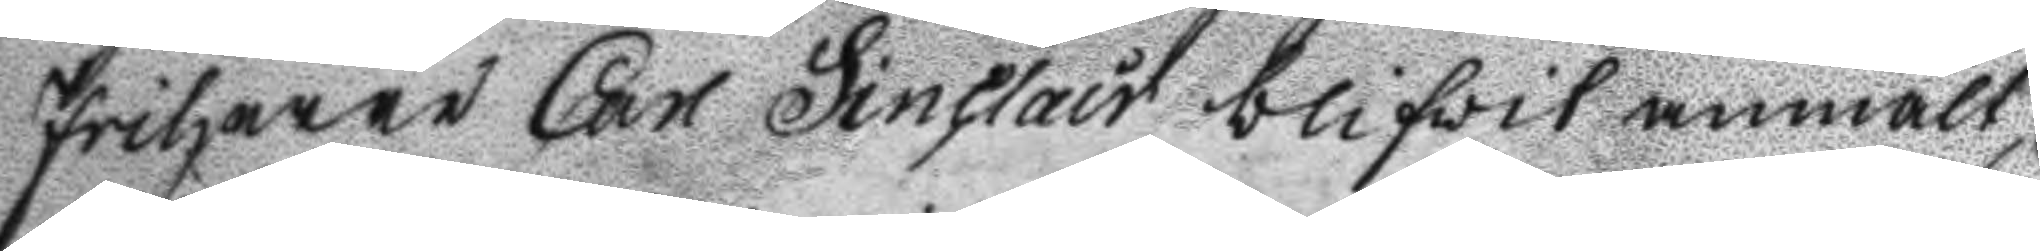friherre Carl Sinclair blifvit anmält,
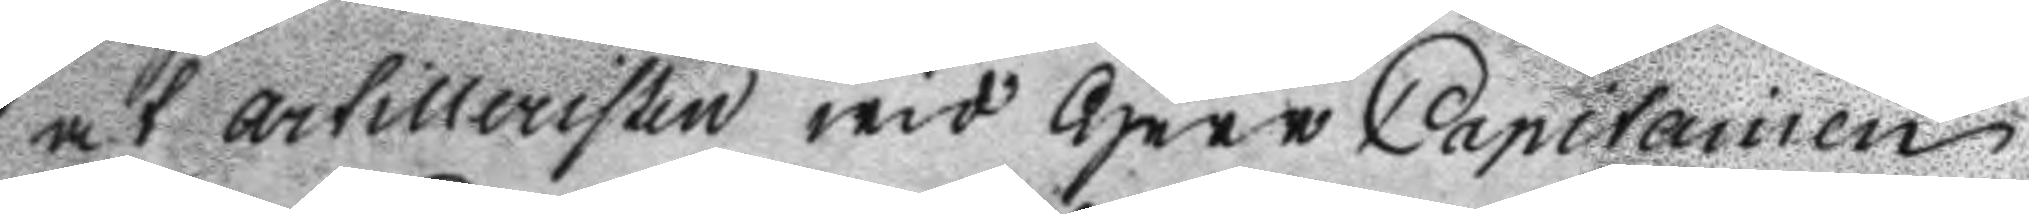at artilleristen wid Herr Capitainen
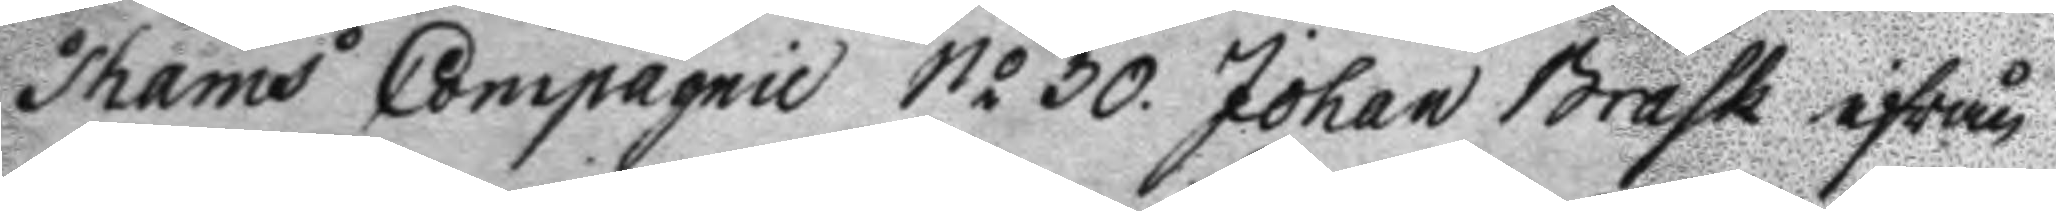Thams Compagnie No 30 Johan Brask ifrån
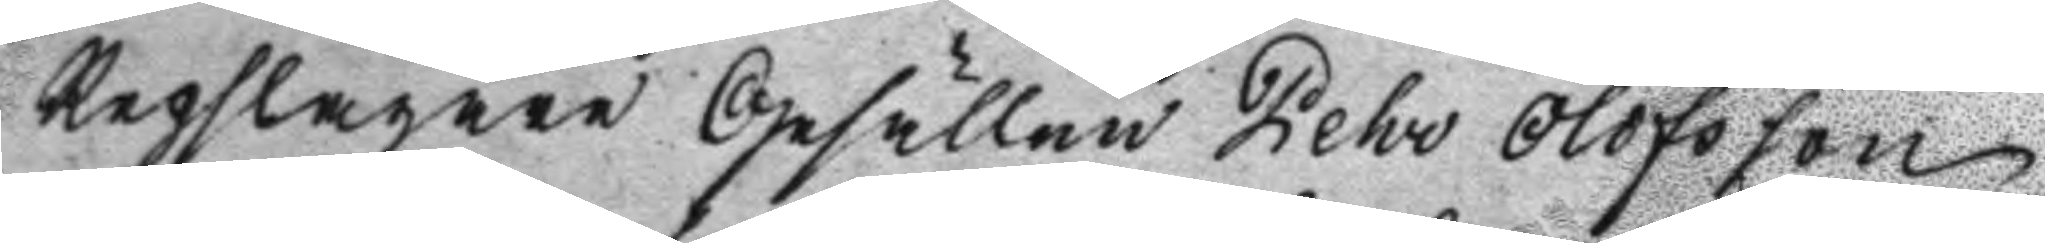Repslagare Gesällen Pehr Olofsson
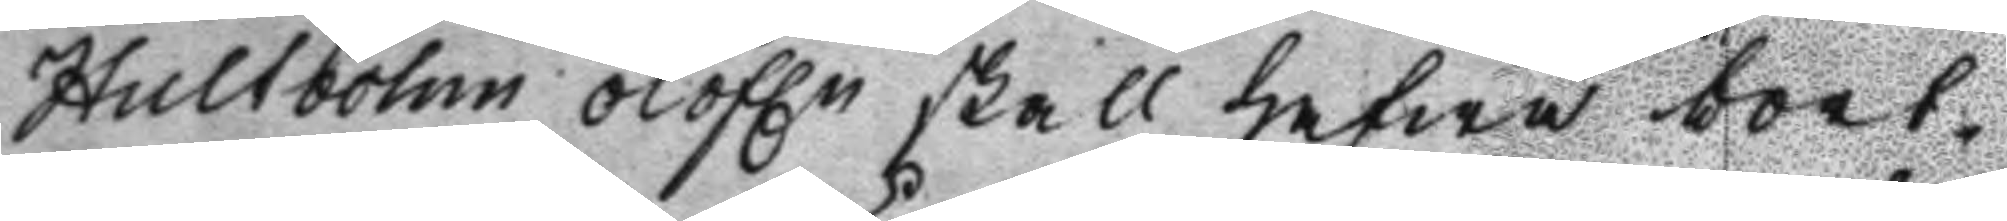Hultbohm olofln skall hafwa bort¬
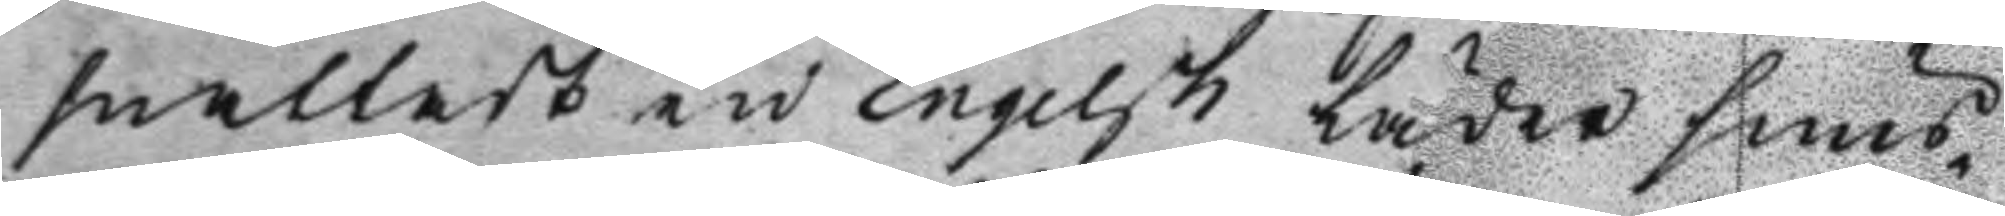snattat en Engelsk Läder snus¬
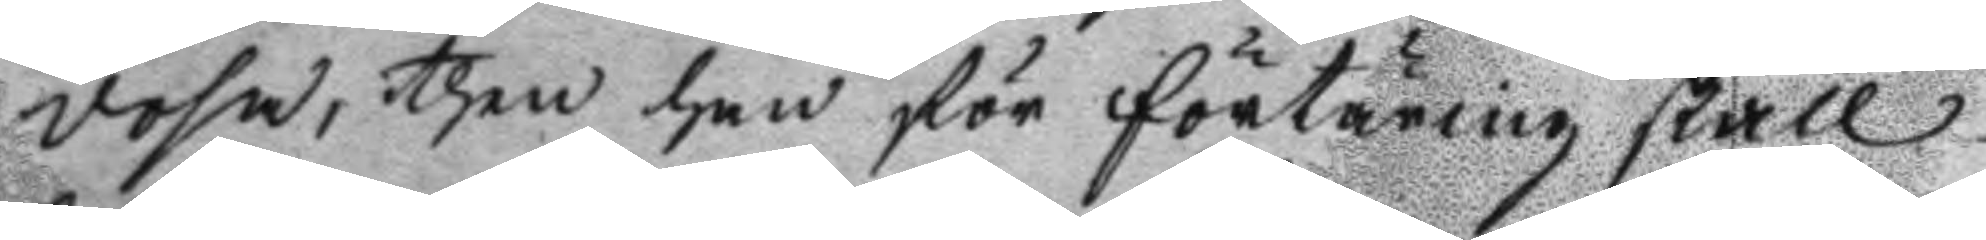dosa, then han för förtäring skall
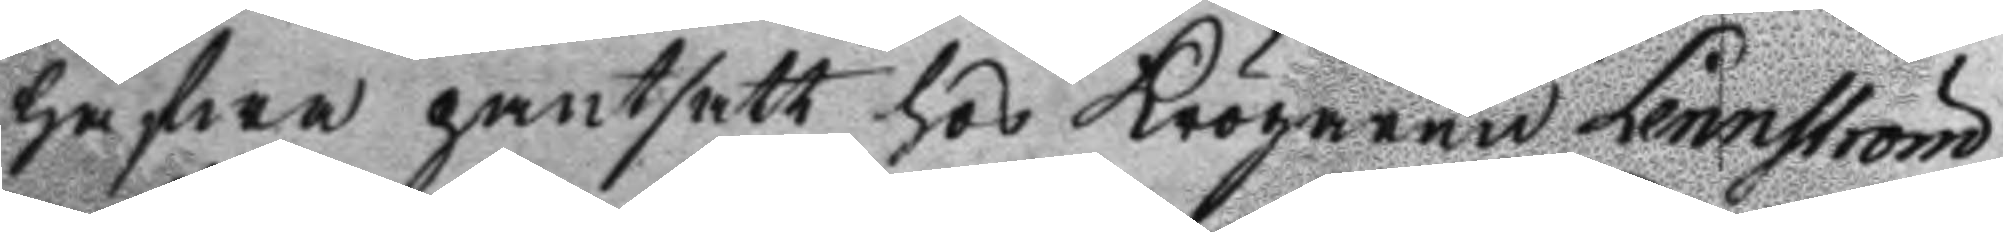hafwa pantsatt hos Krögaren Lennström
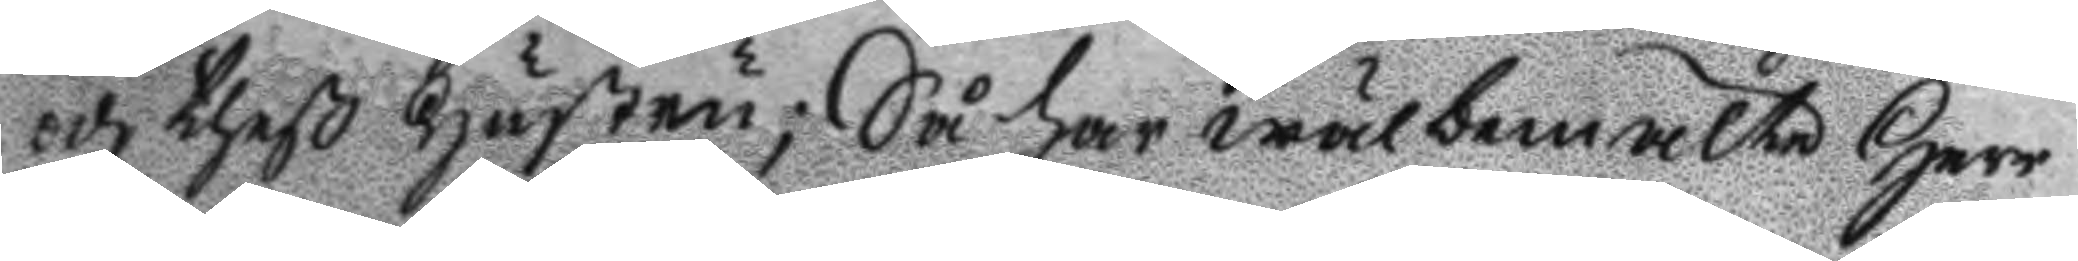och theß Hustru; Så har wälbemälte Herr
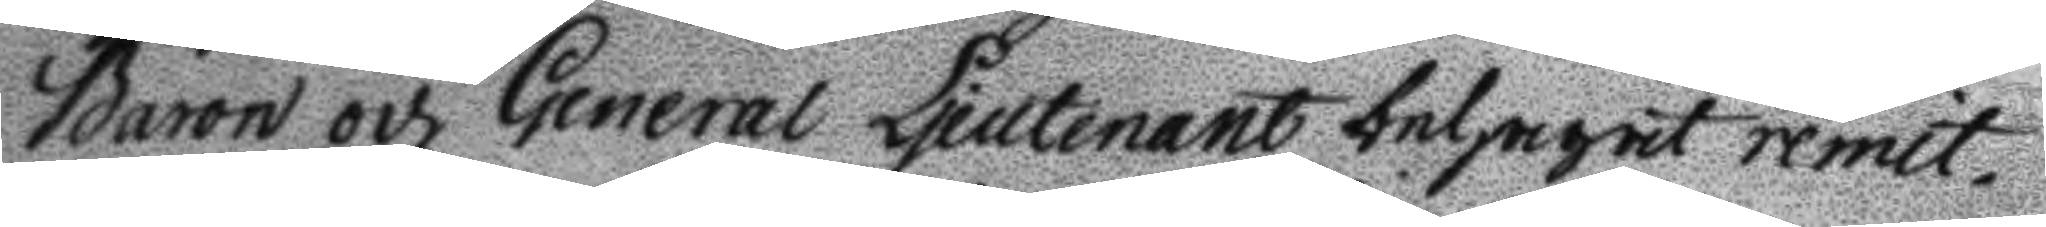Baron och General Ljeutenant behagat remit¬
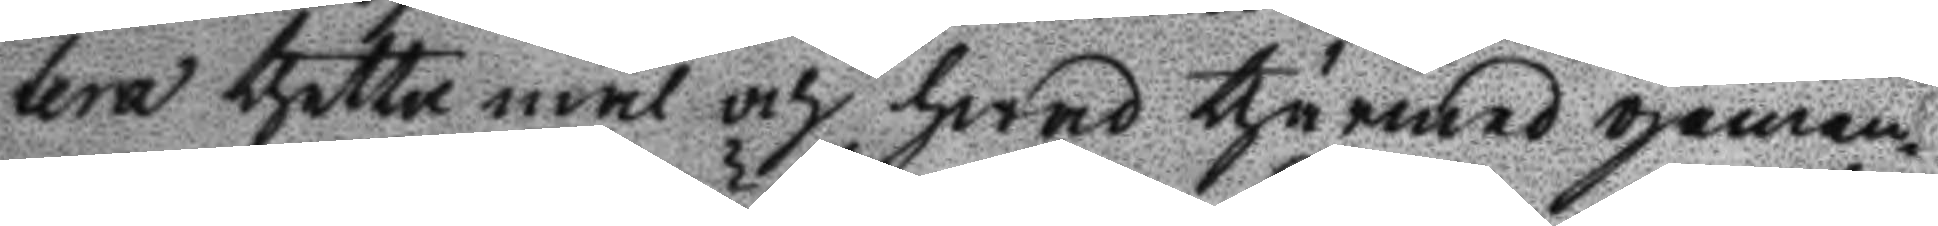tera thetta mål och hwad thärmed gemen¬
